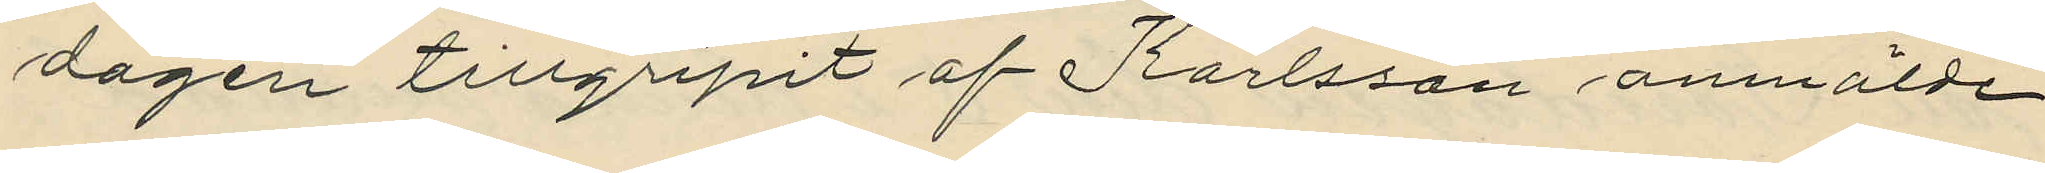dagen tillgripit af Karlsson anmälde
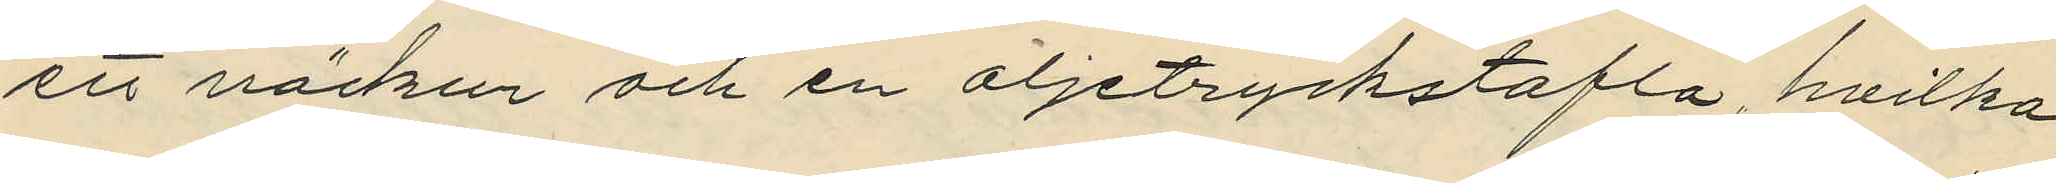ett väckur och en oljetryckstafla, hvilka
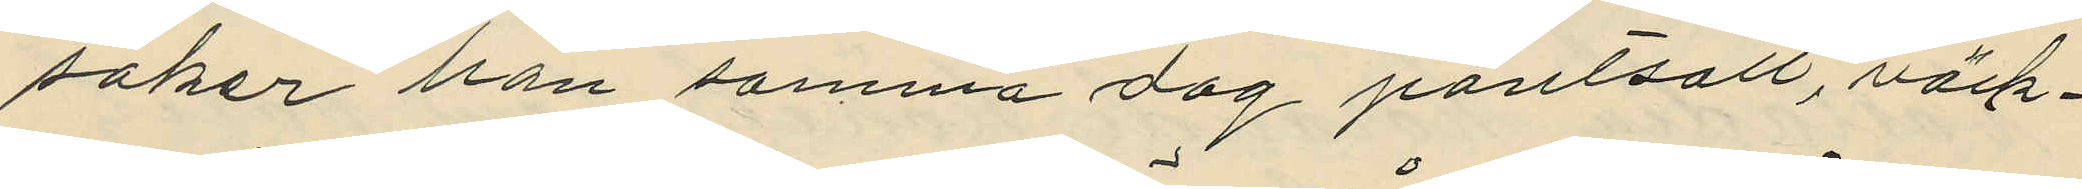saker han samma dag pantsatt, väck¬
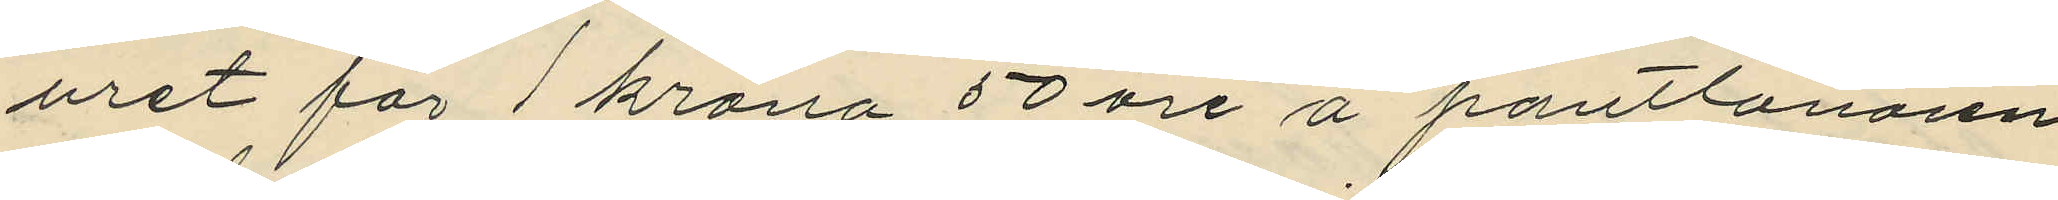uret för 1 krona 50 öre å pantlånaren
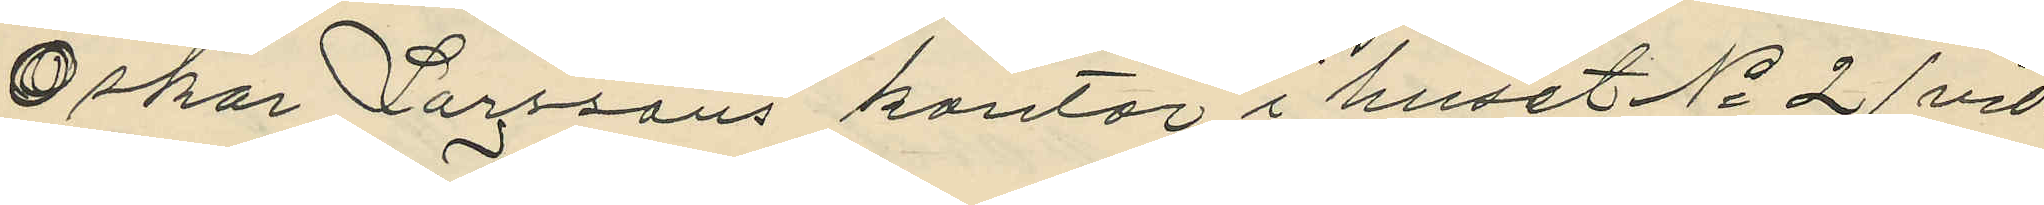Oskar Larssons kontor i huset No 21 vid
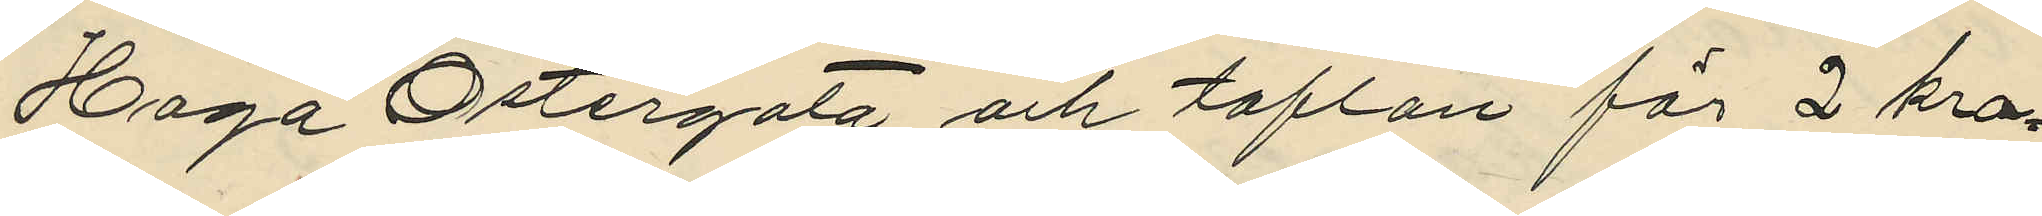Haga Östergata och taflan för 2 kro¬
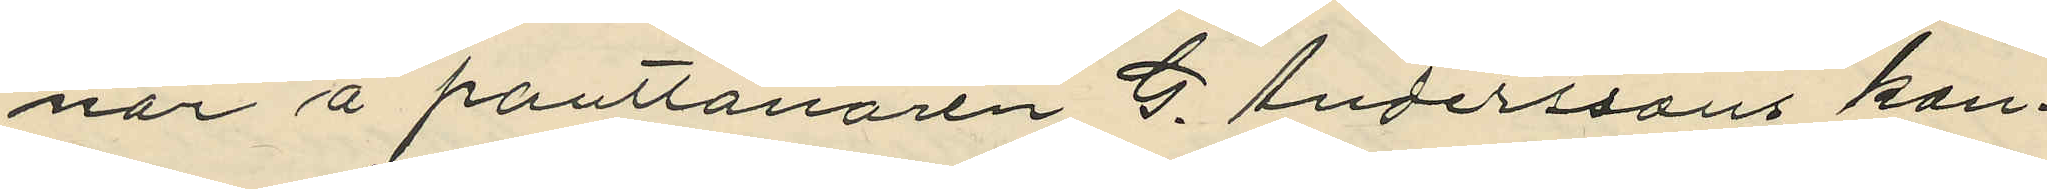nor å pantlånaren G. Anderssons kon¬
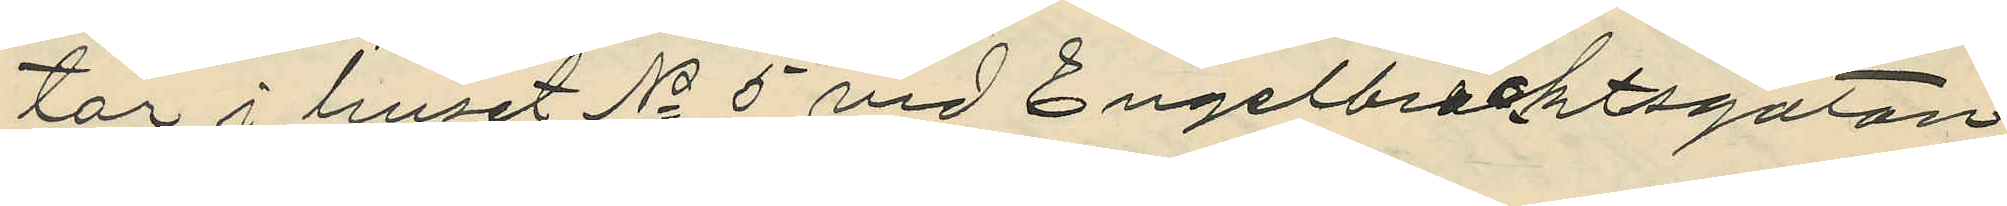tor i huset No 5 vid Engelbrecktsgatan,
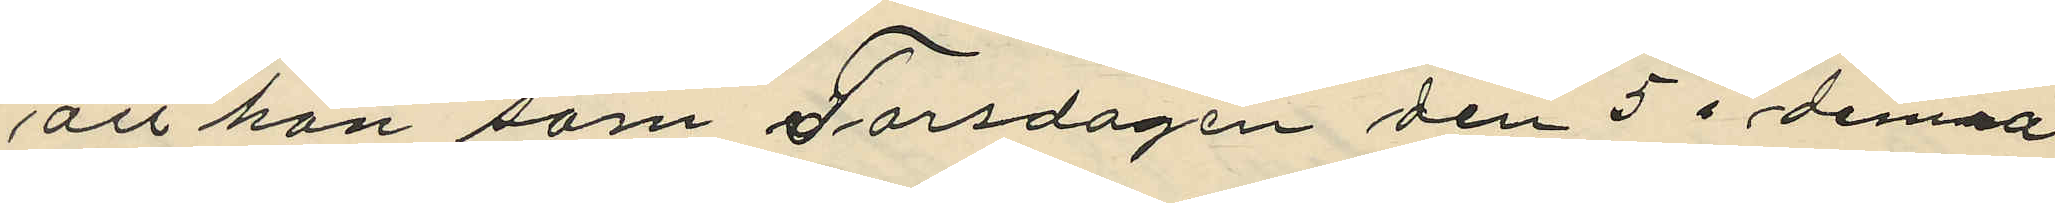att han som Torsdagen den 5 i denna
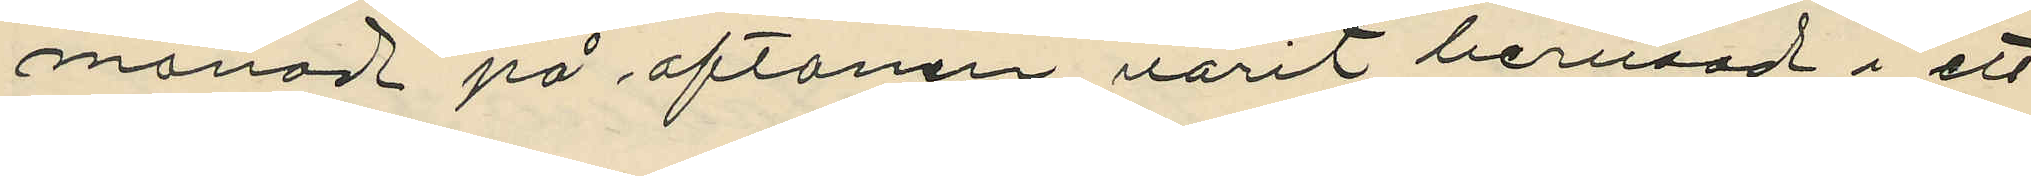månad på aftonen varit berusad i ett
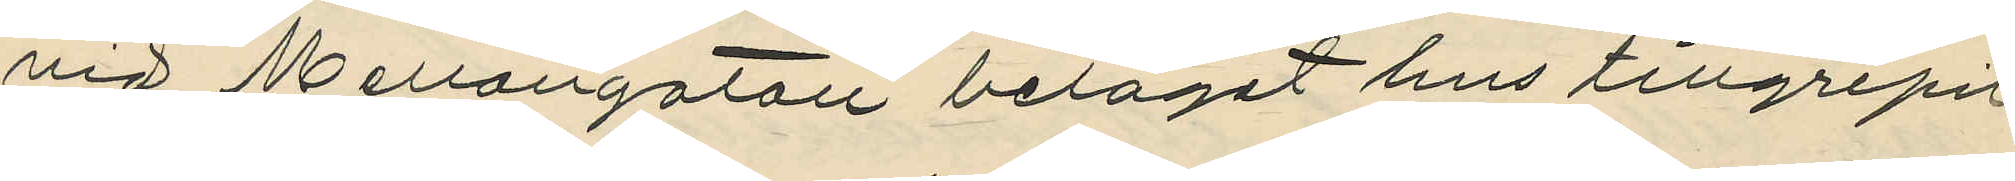vid Mellangatan beläget hus tillgripit
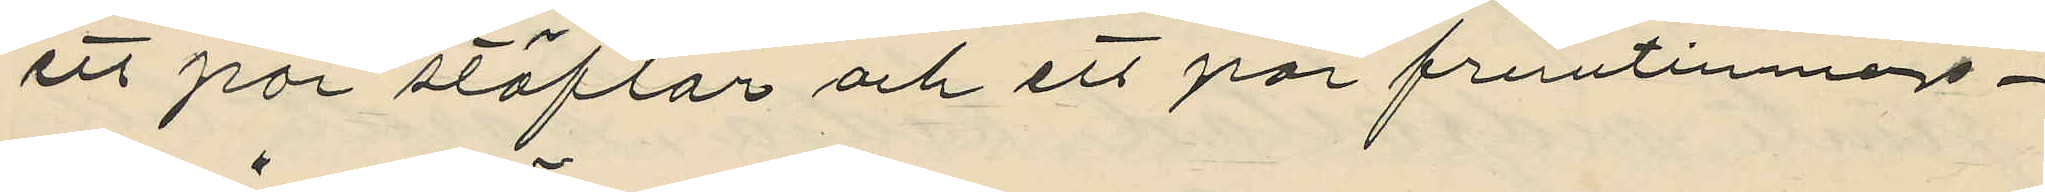ett par stöflar och ett par fruntimmers¬
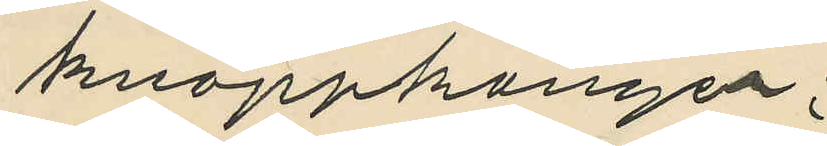knäppkänger;
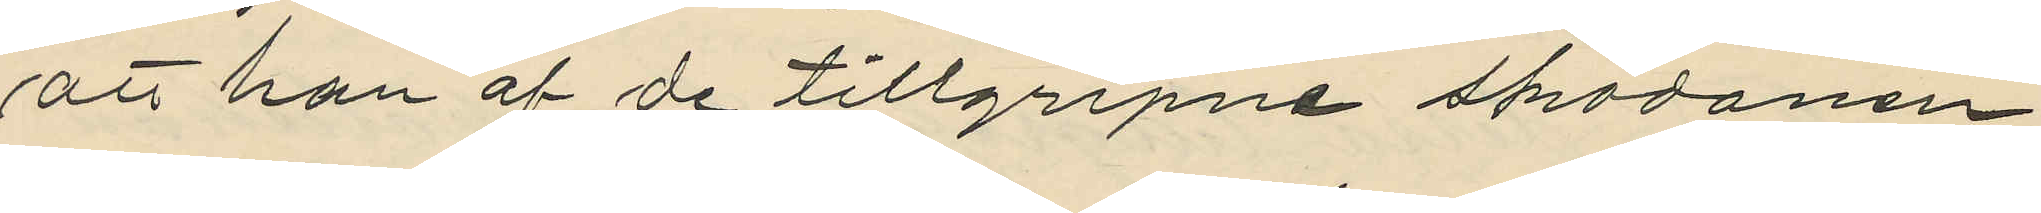att han af de tillgripne skodonen
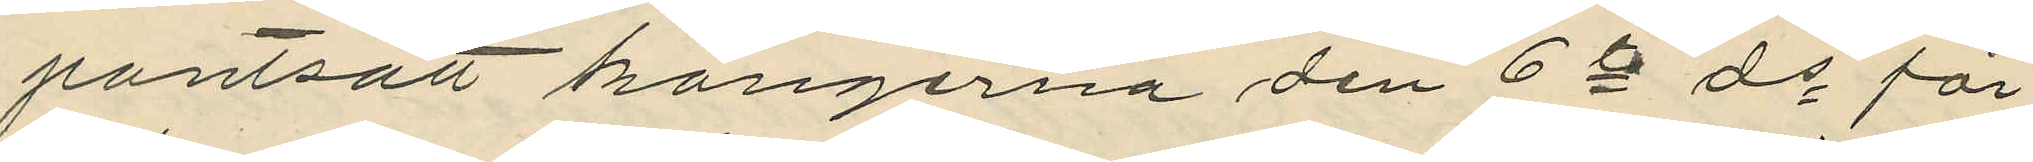pantsatt kängerna den 6te ds för
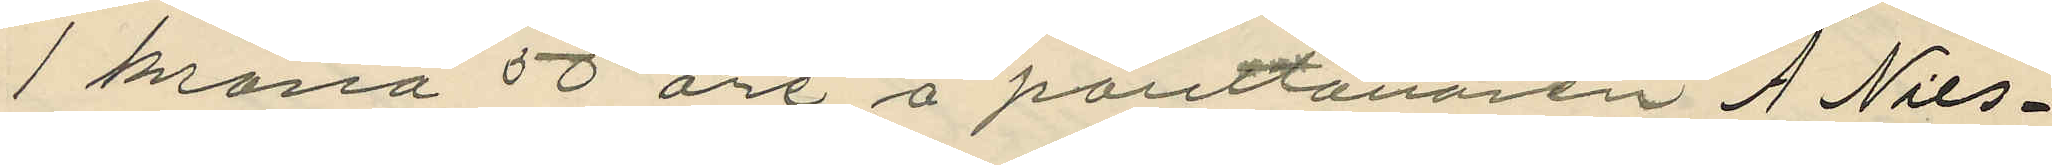1 krona 50 öre å panttånaren A Nils¬
